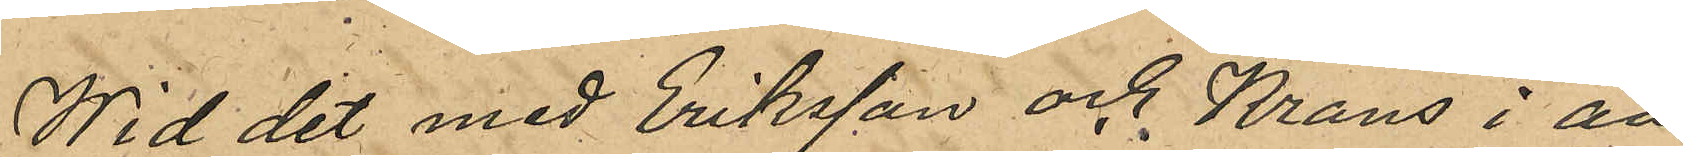Wid det med Eriksson och Krans i an¬
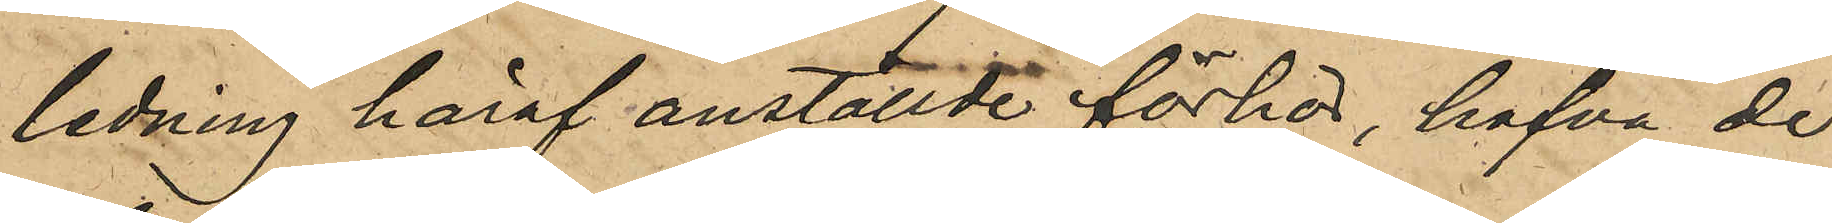ledning häraf anställde förhör, hafva de
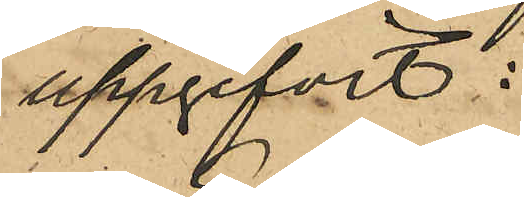uppgifvit:
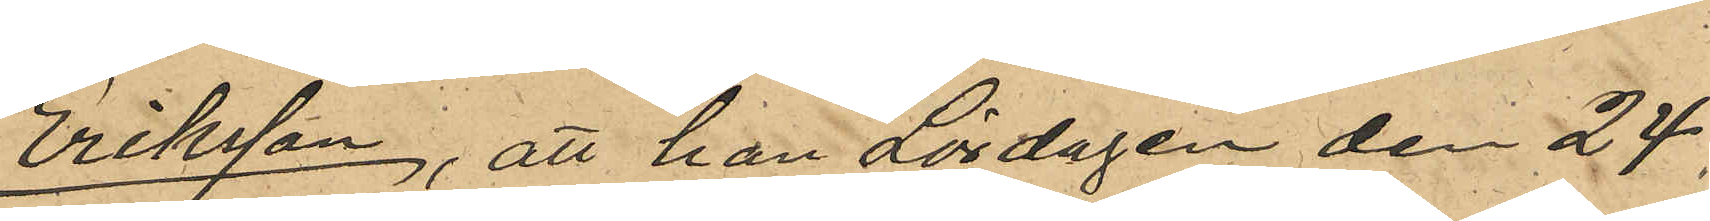Eriksson, att han Lördagen den 24
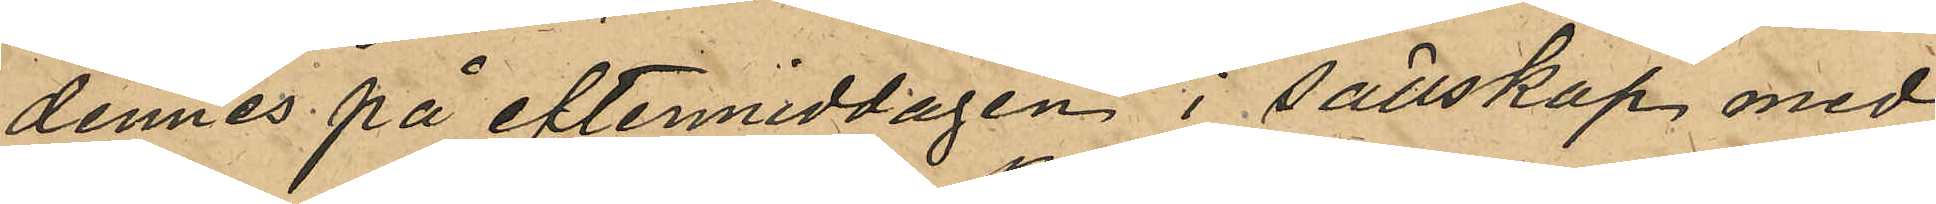dennes på eftermiddagen i sällskap med
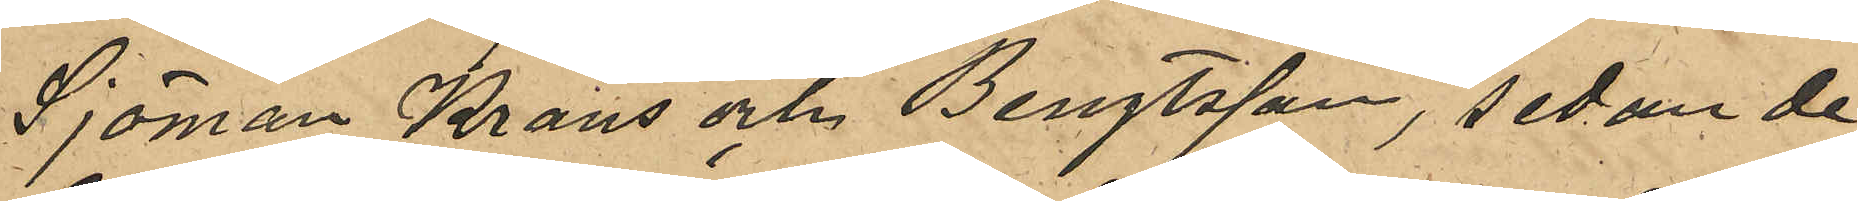Sjöman Krans och Bengtsson, sedan de
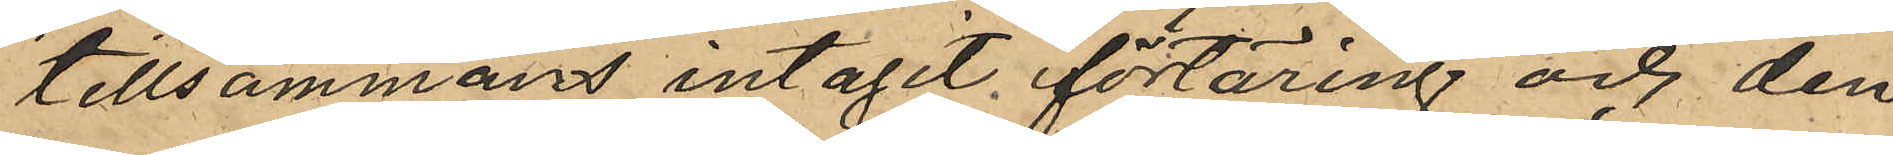tillsammans intagit förtäring och den
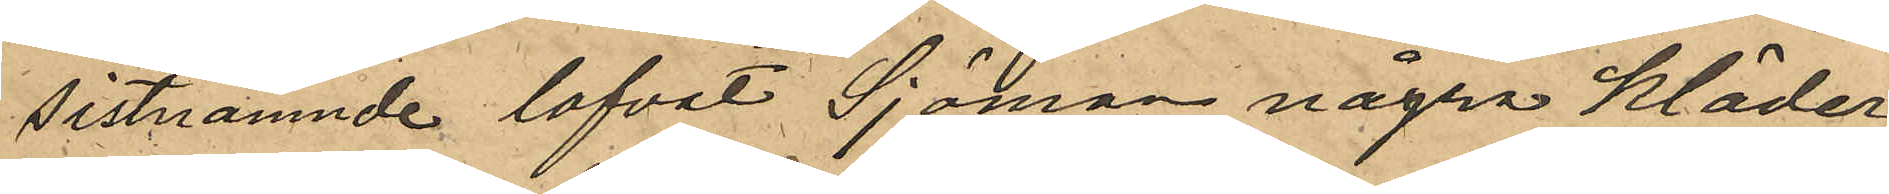sistnämnde lofvat Sjöman några kläder,
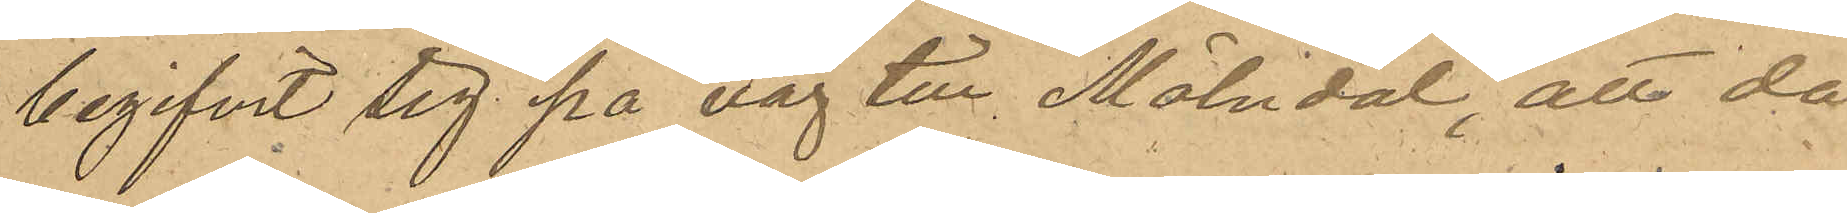begifvit sig på väg till Mölndal, att då
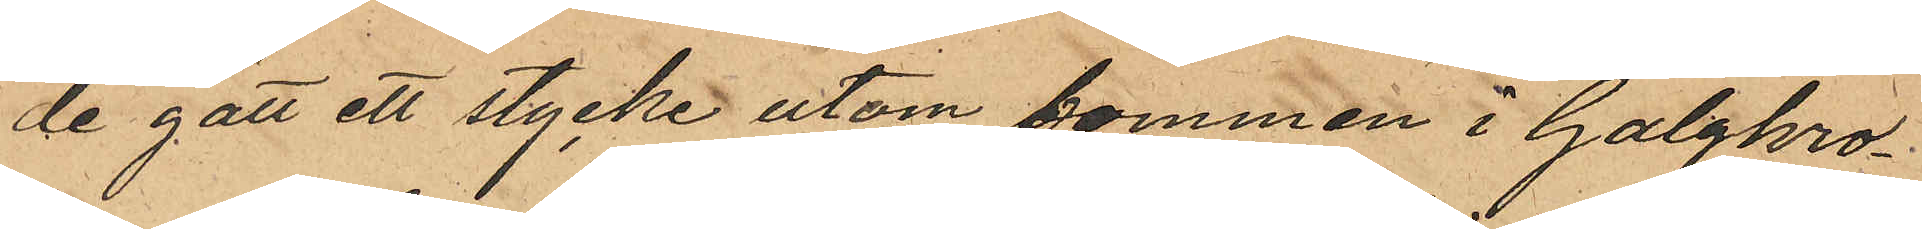de gått ett stycke utom bommen i Galgkro¬
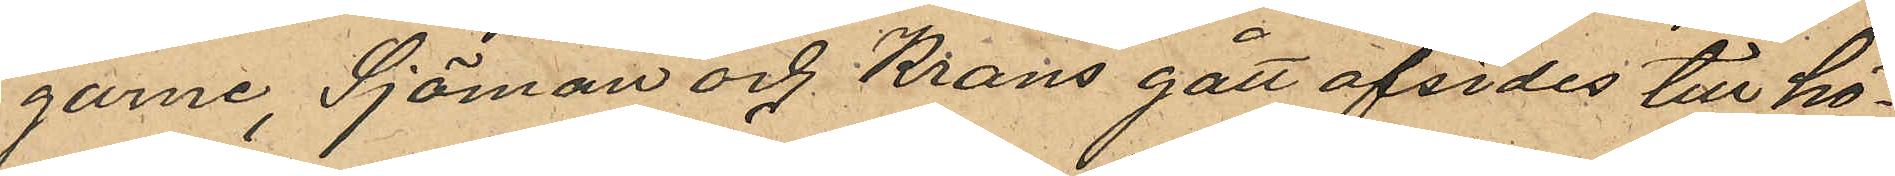garne, Sjöman och Krans gått afsides till hö¬
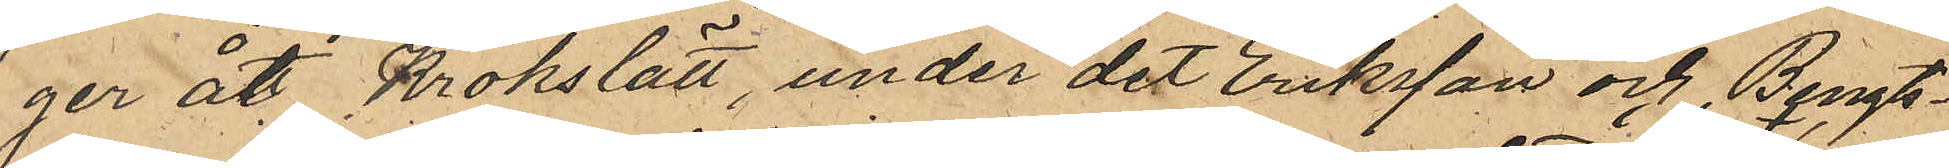ger åt Krokslätt, under det Eriksson och Bengts¬
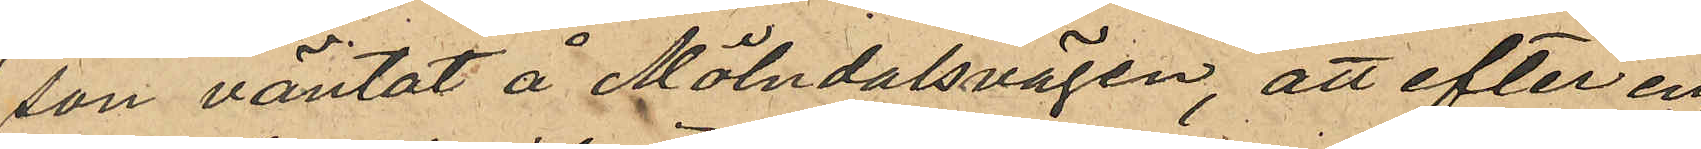son väntat å Mölndalsvägen, att efter en
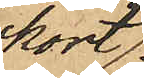kort
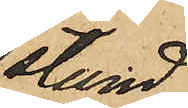stund
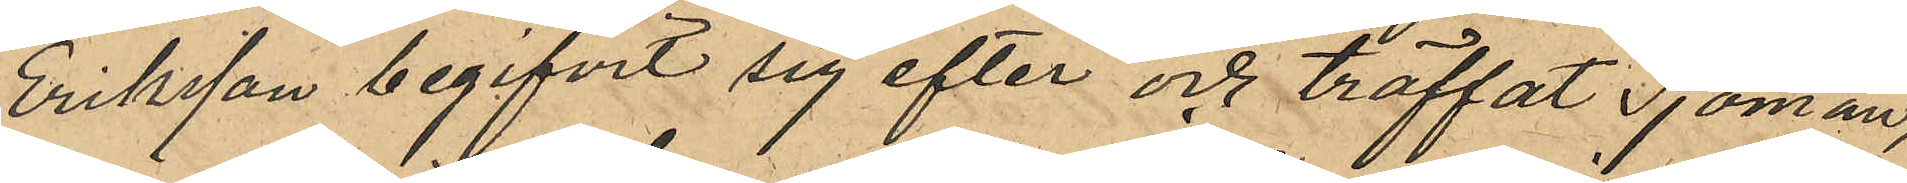Eriksson begifvit sig efter och träffat Sjöman,
